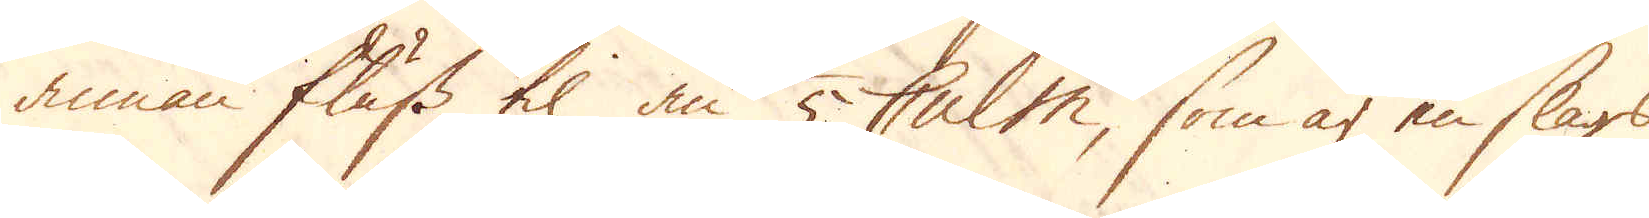annan fluss til än 1/5 Culm, som är en slags
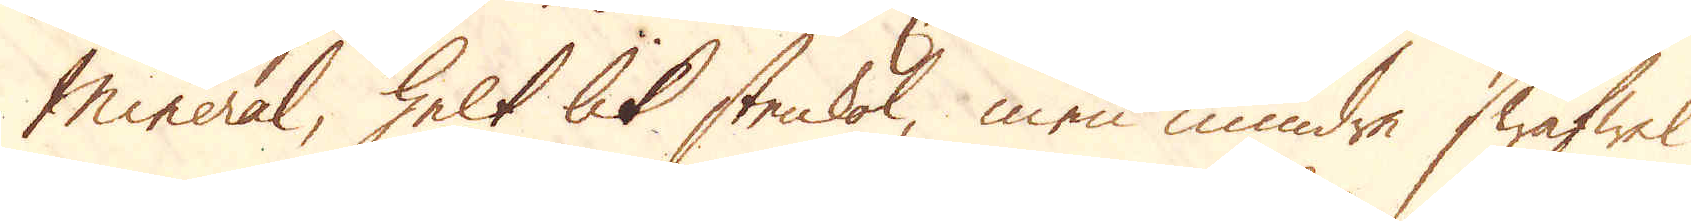Mineral, helt lik stenkol, men mindre swafwel
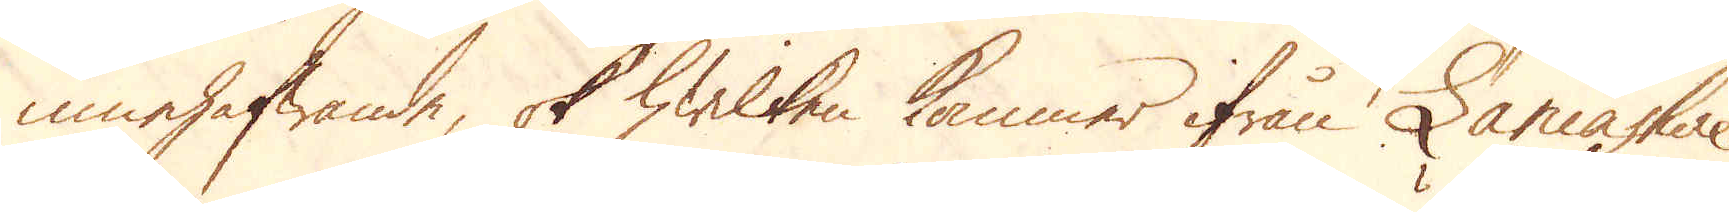innehafwande, ok hwilken kommer ifrån Lancashire.
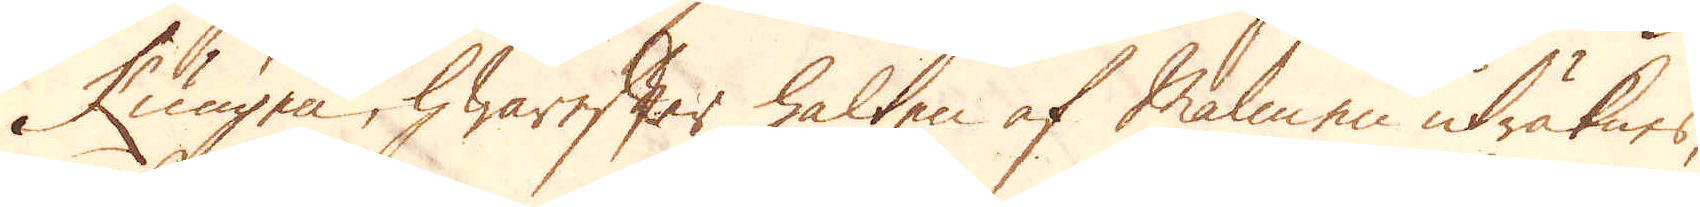Kungen, hwarefter halten af Malmen uträknes,
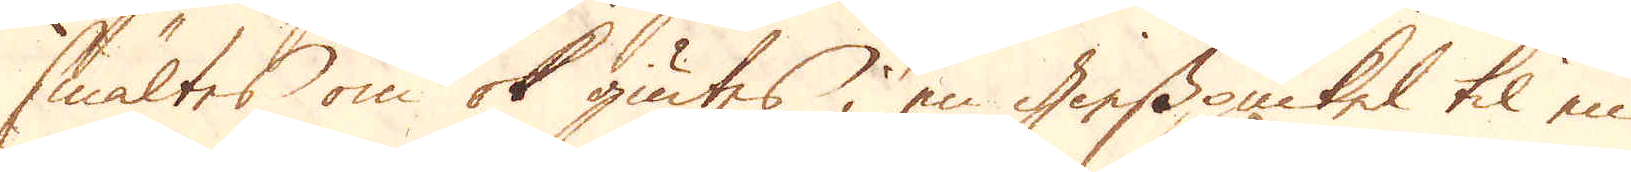smältes om ok giutes i en giesspuckel til en
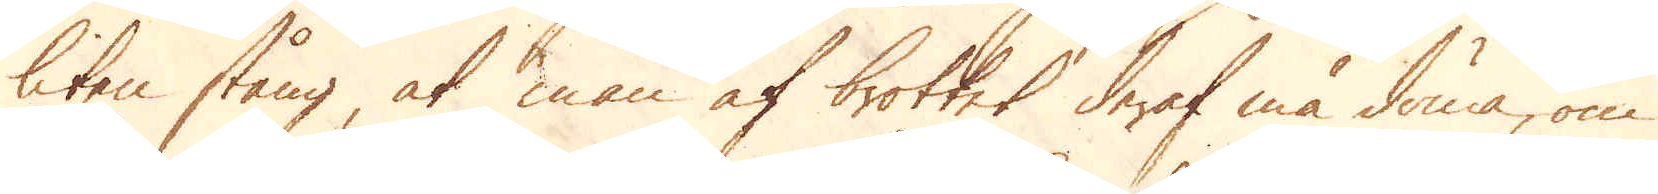liten stång at man af brottet deraf må döma, om
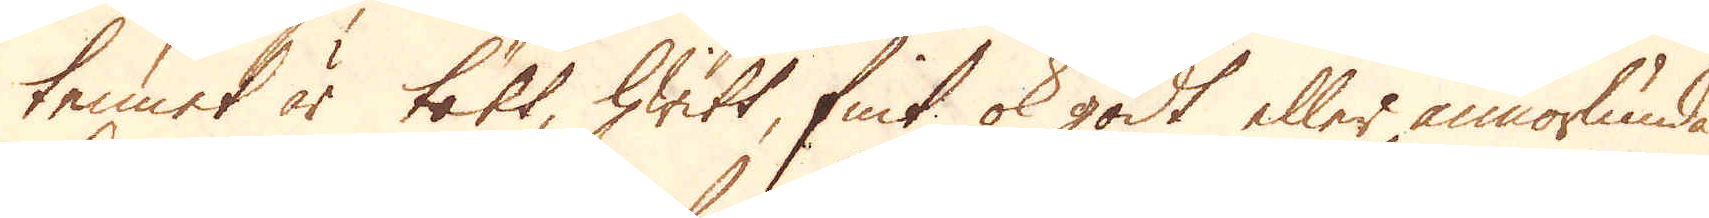tennet är tätt, hwitt fint ok godt eller annorlunda.
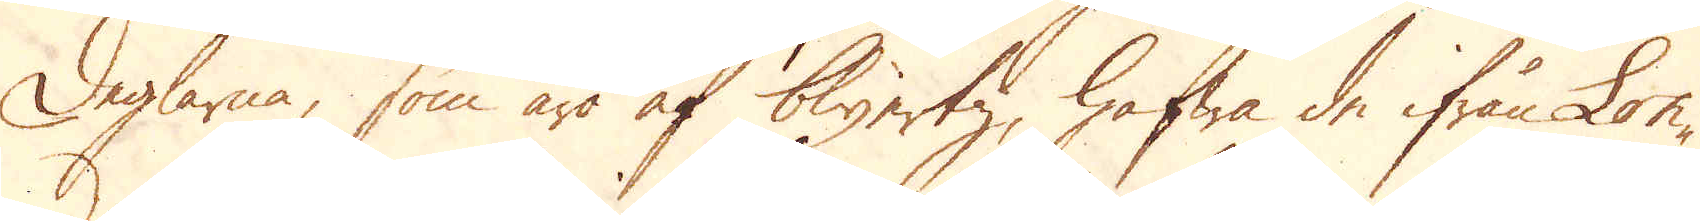Deglarna, som äro af blyertz, hafwa de ifrån Lon-
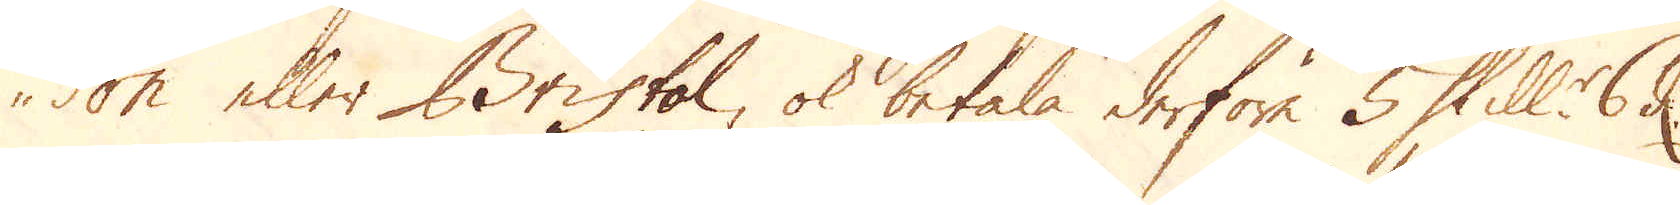don eller Bristol, ok betala derföre 5 Skill:r 6 d.
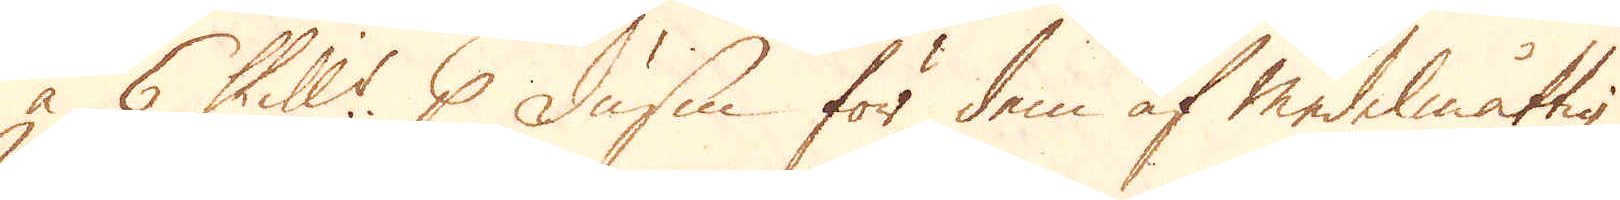à 6 Skill:r p dussin för dem af Medelmåttig
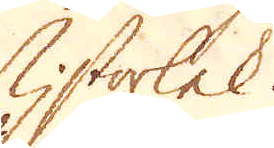storlek.
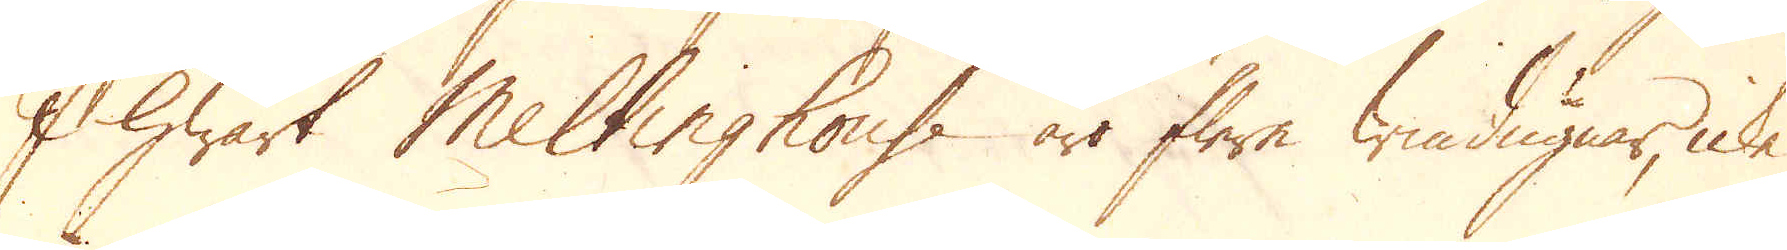I hwart Meltinghouse äro flere windugnar, icke
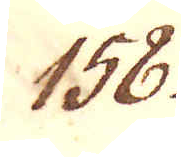158.
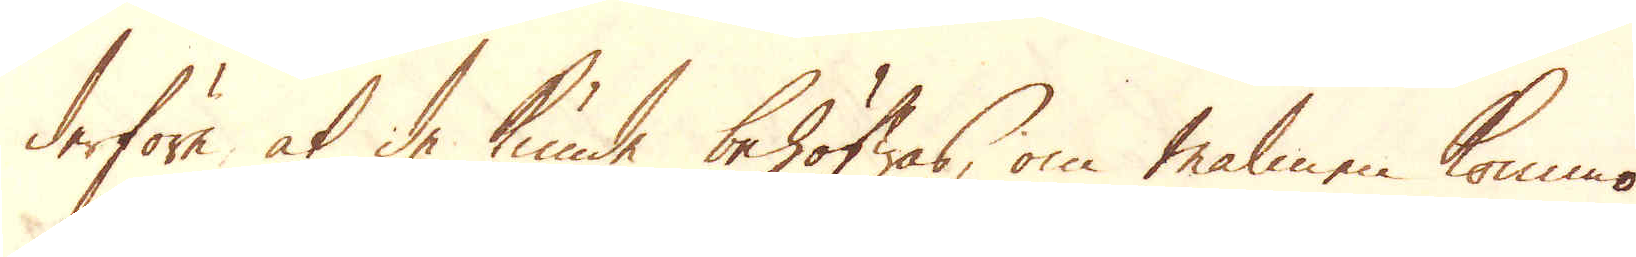derföre at de kunde behöfwas, om malmen kommo
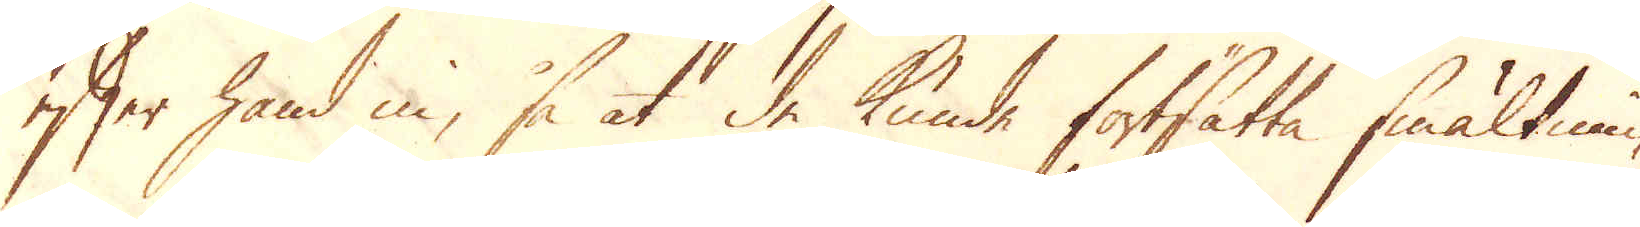efter hand in, så at de kunde fortsatta smältnin-
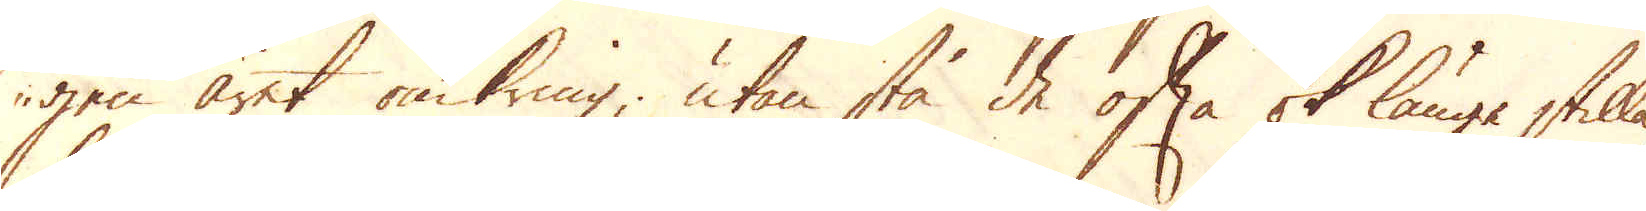gen året omkring, utan stå de ofta ok länge stilla,
